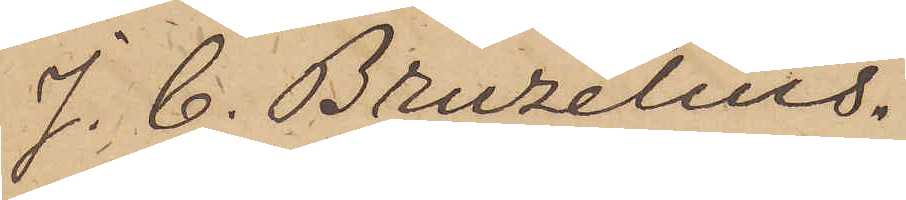J. C. Bruzelius.
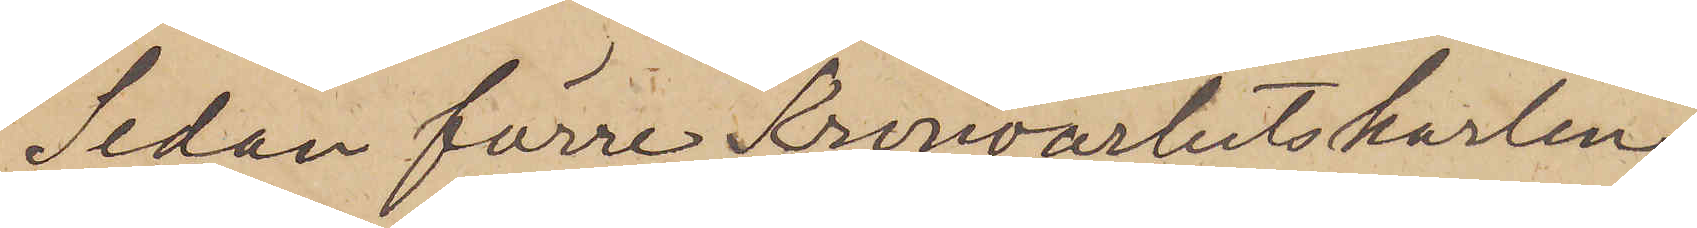Sedan förre Kronoarbetskarlen
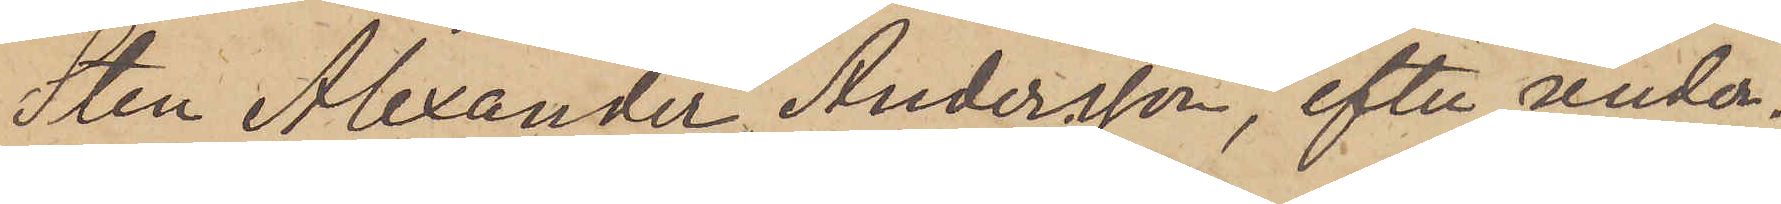Sten Alexander Andersson, efter under¬
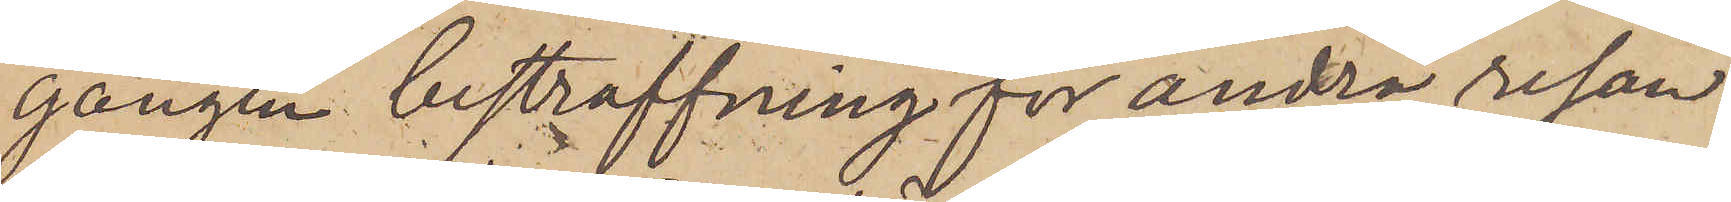gången bestraffning för andra resan
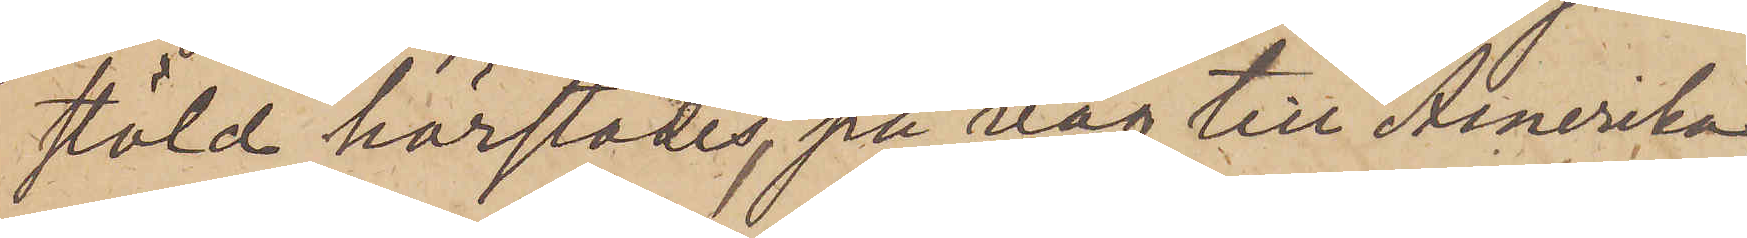stöld härstädes, på väg till Amerika,
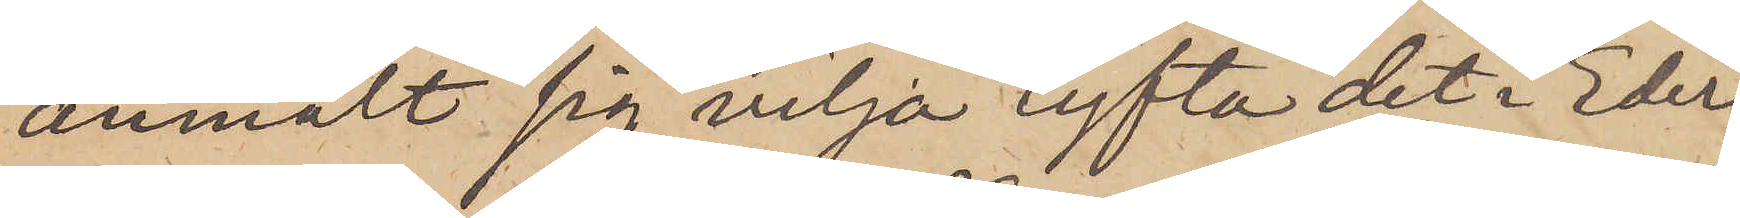anmält sig vilja lyfta det i Eder
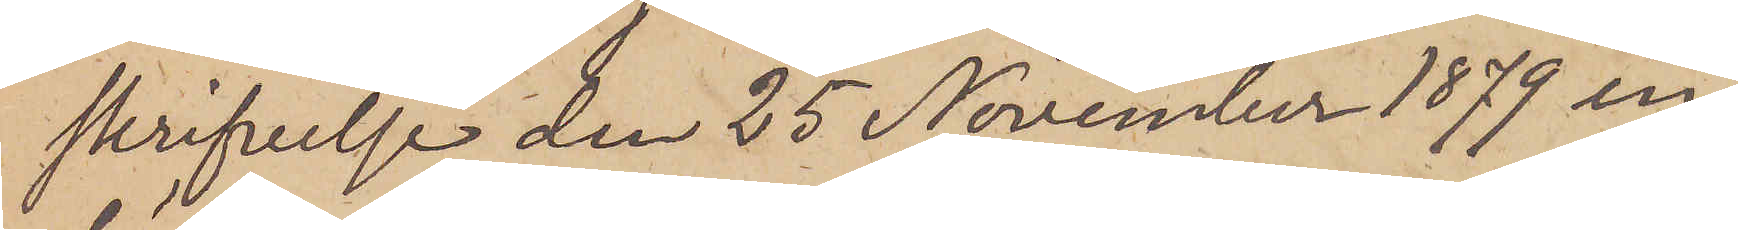skrifvelse den 25 November 1879 in¬
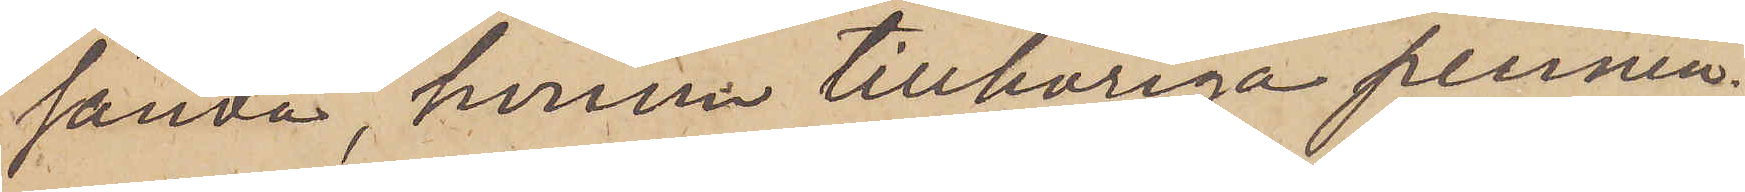sända, honom tillhöriga pennin¬
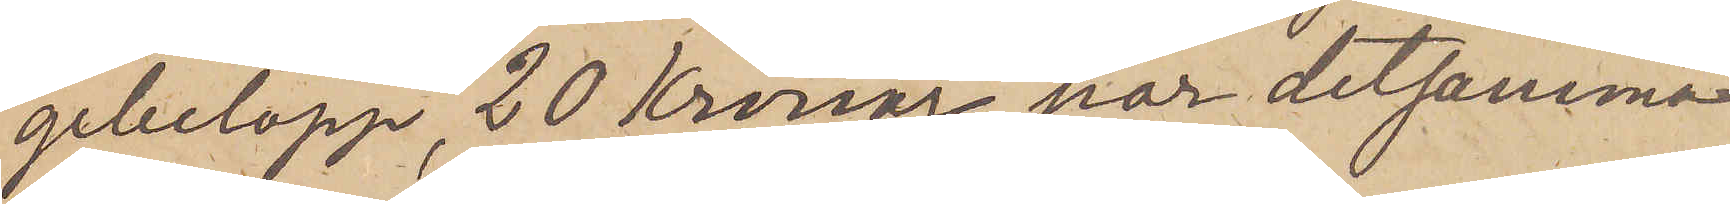gebelopp, 20 Kronor, har detsamma
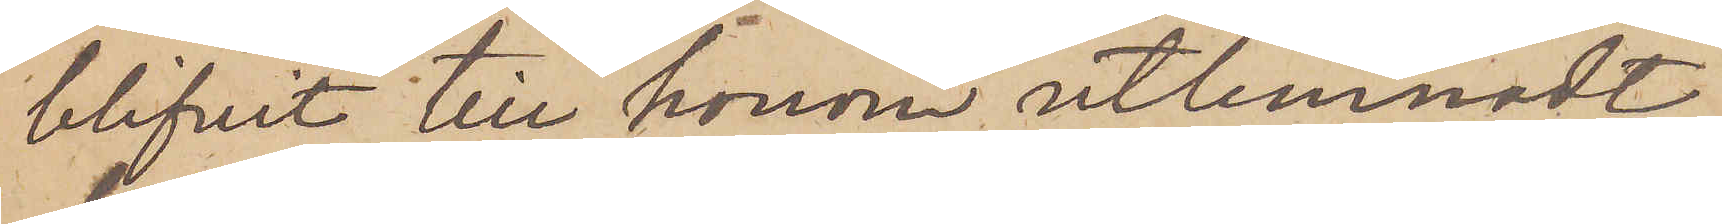blifvit till honom utlemnadt;
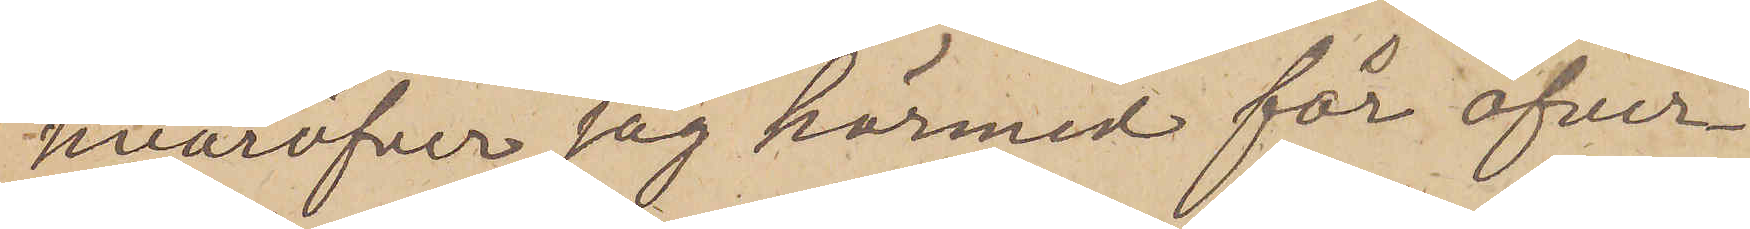hvaröfver jag härmed får öfver¬
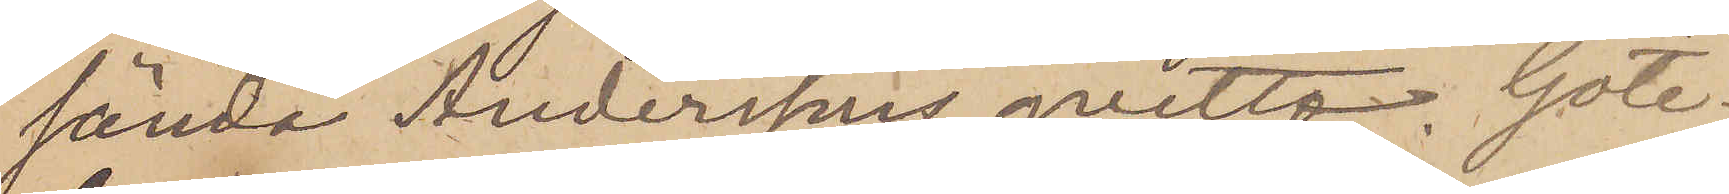sända Anderssons qvitto. Göte¬
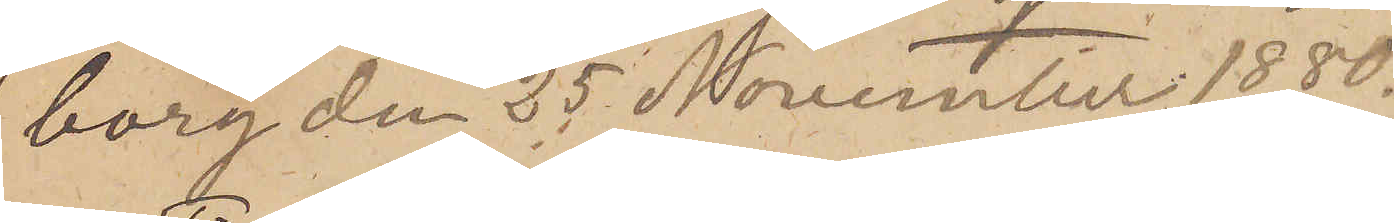borg den 25 November 1880.
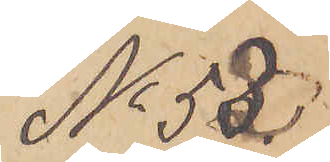No 53
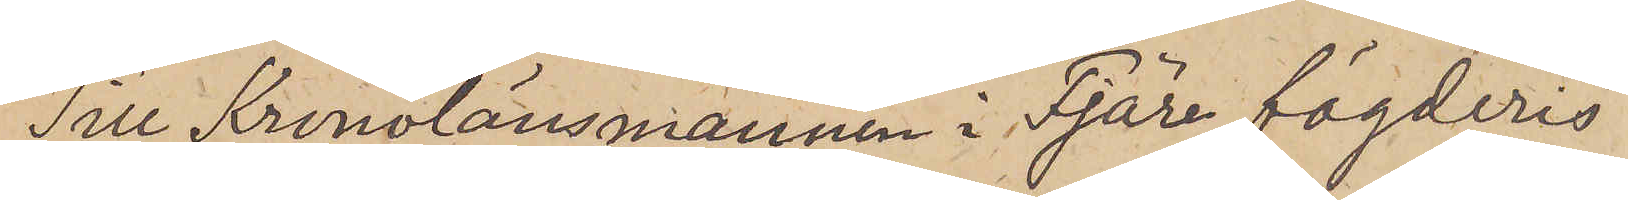Till Kronolänsmannen i Fjäre fögderis
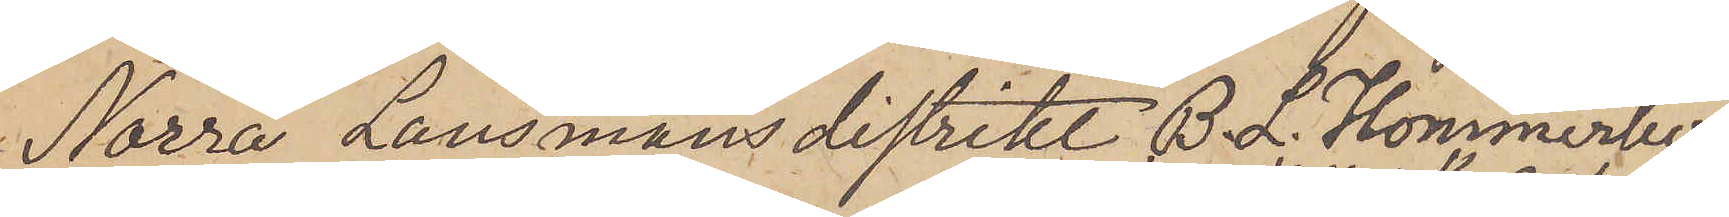Norra Länsmansdistrikt B. L. Hommerberg
